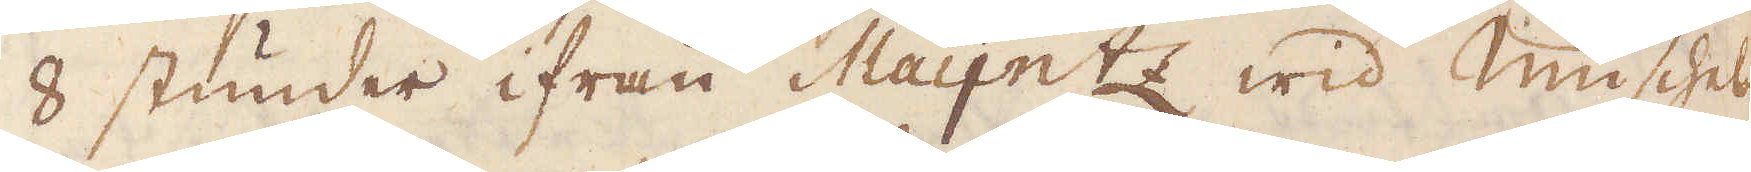8 stunder ifrån Maijntz wid Musches
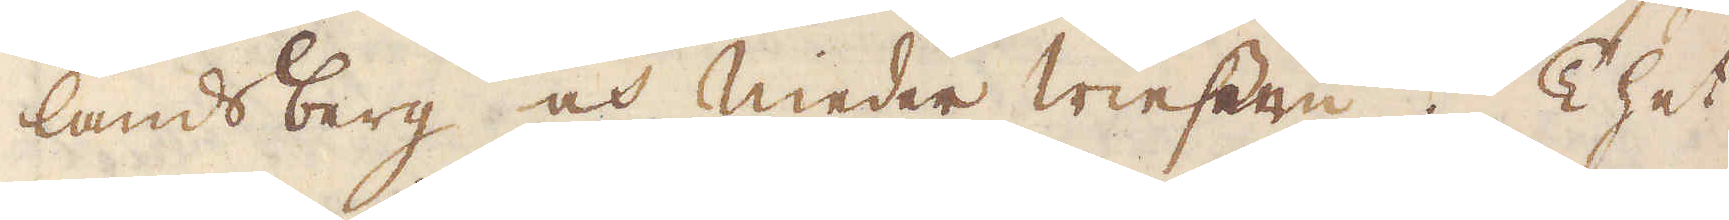landsberg och Nieder Wiesern. Thet
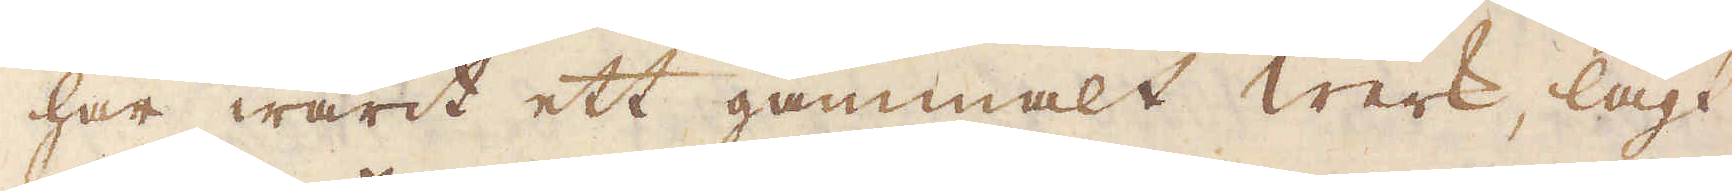har warit ett gammalt werk, lagt
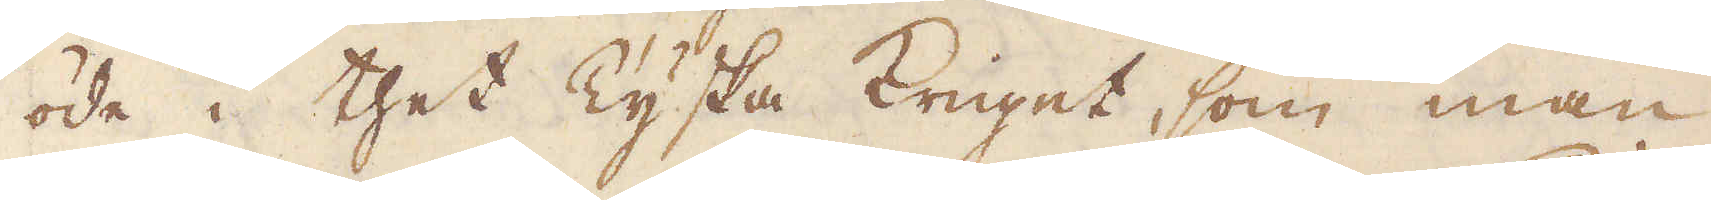öde i thet Tyska Kriget, som man
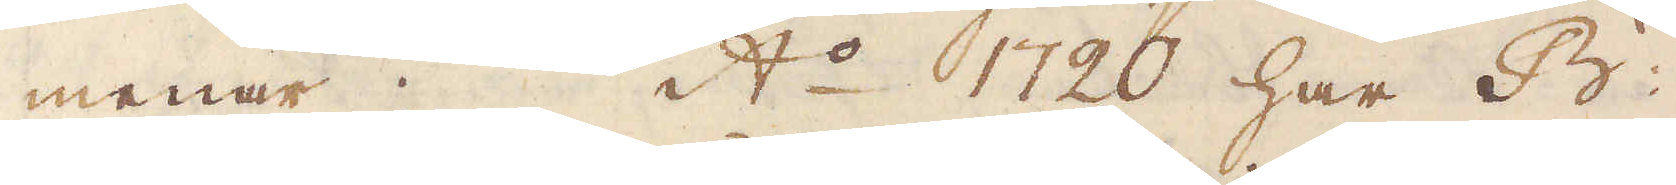menar; A:o 1720 har B:
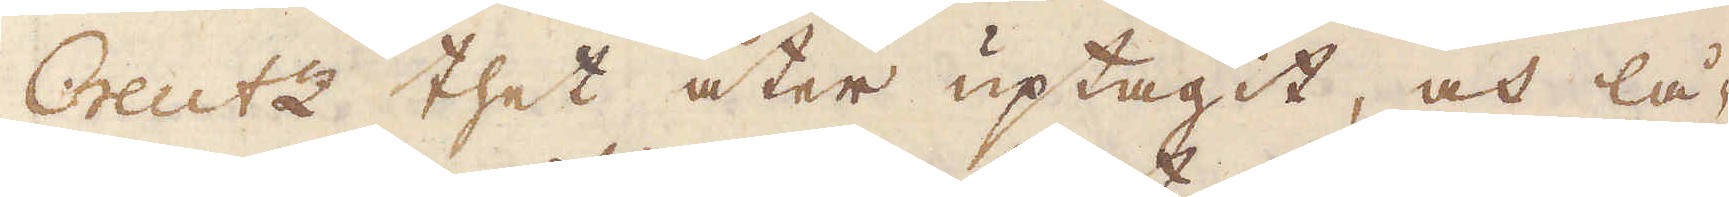Creutz thet åter uptagit, och lå-
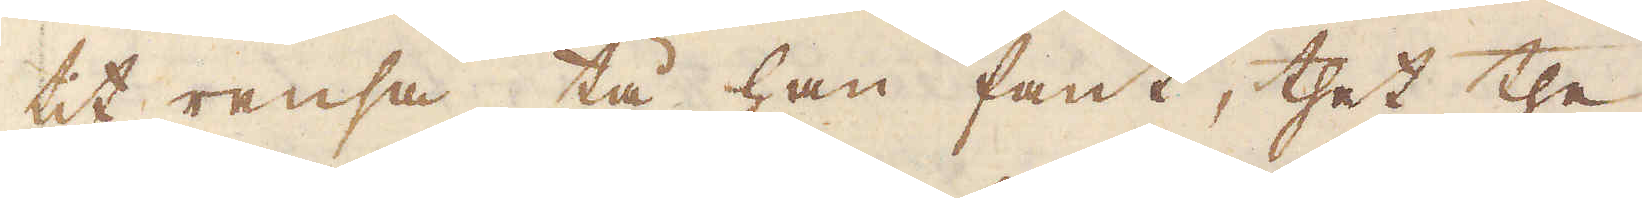tit rensa, tå han fant, thet the
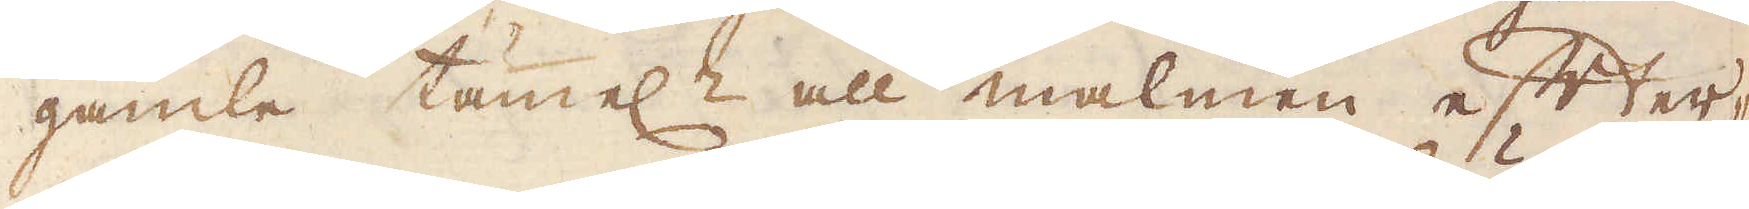gamla tämel:n all malmen efter-
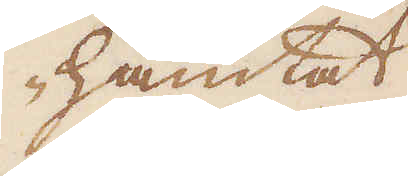hämtat
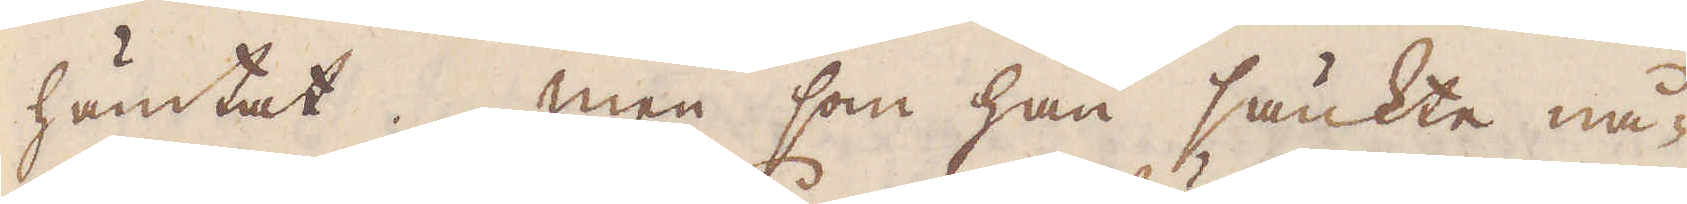hämtat. Men som han sänkte nå-
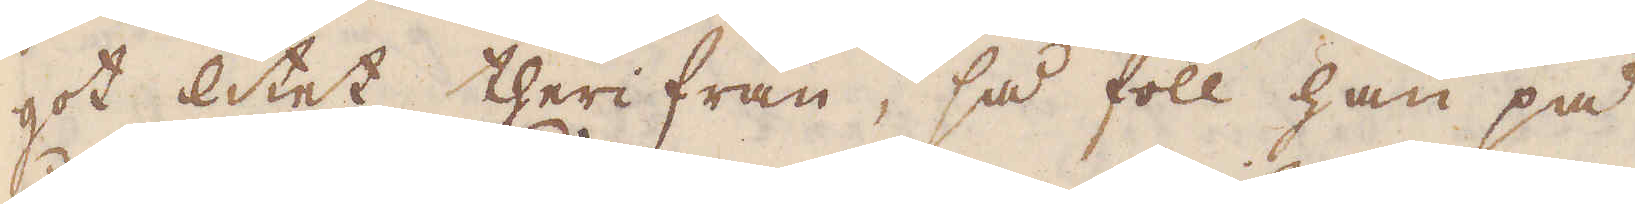got litet therifrån, så föll han på
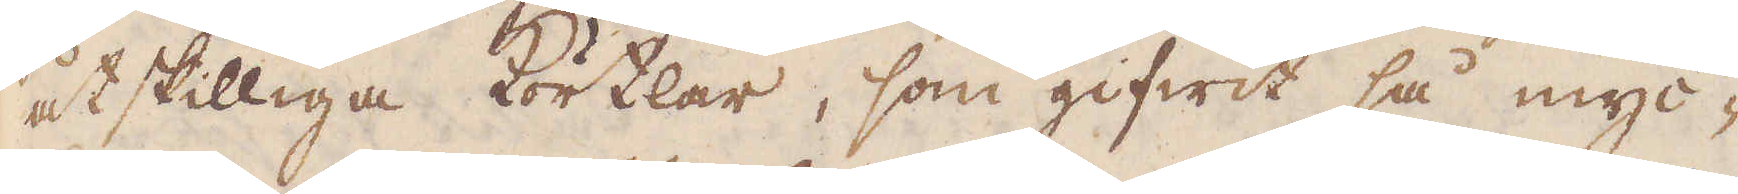åtskilliga Körtlar, som gifwit så myc-
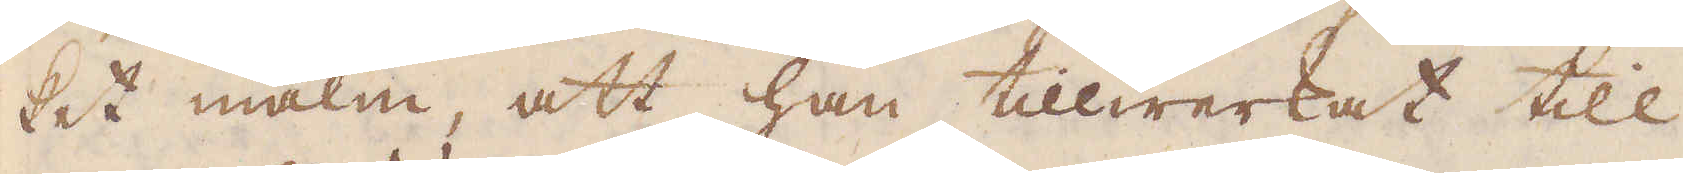ket malm, att han tillwerkat till
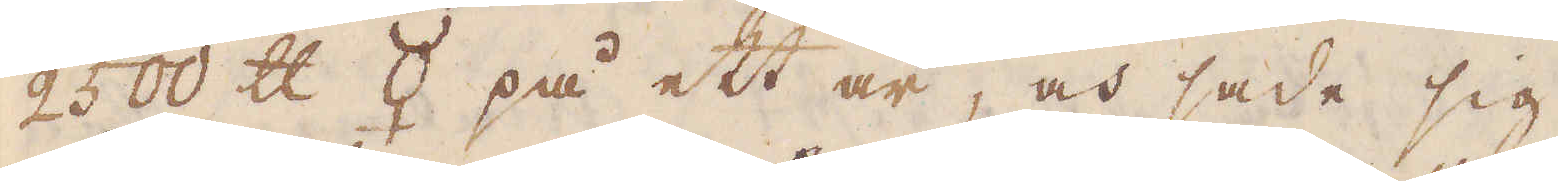2500 skålpund ☿ på ett år, och sade sig
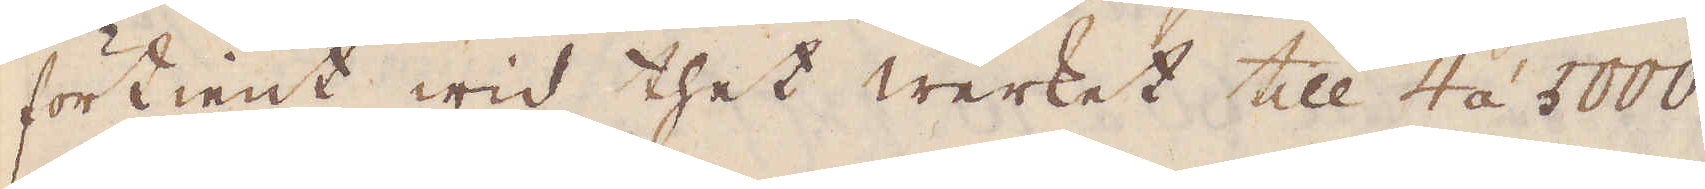förtient wid thet werket till 4 á 5000
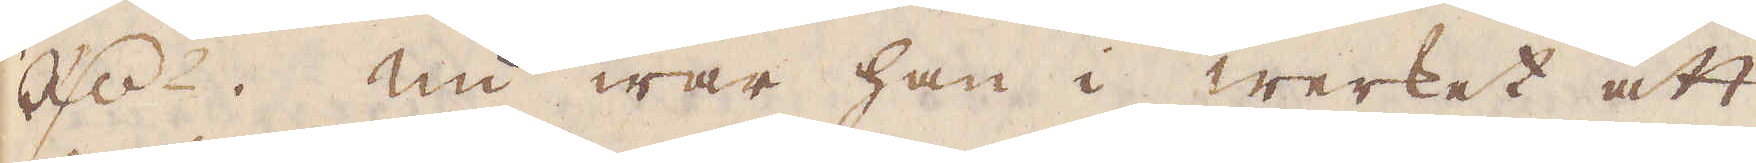R:dr. Nu war han i werket att
